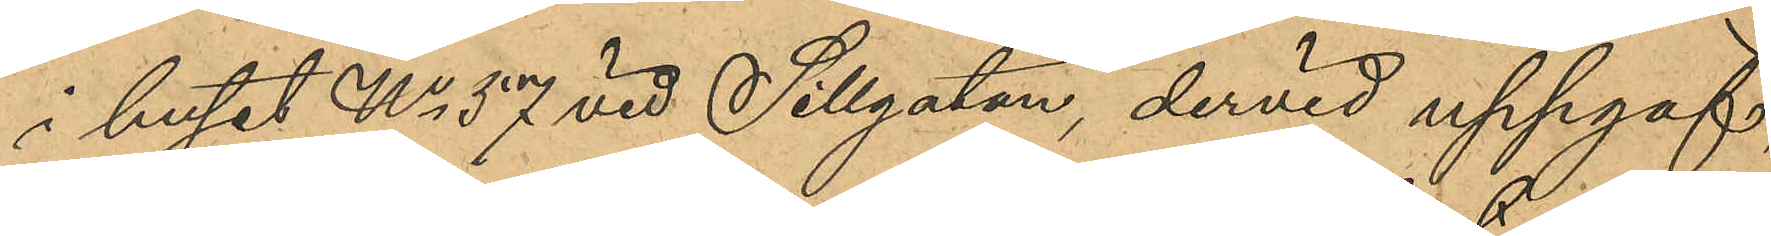i huset No 57 vid Sillgatan, dervid uppgaf
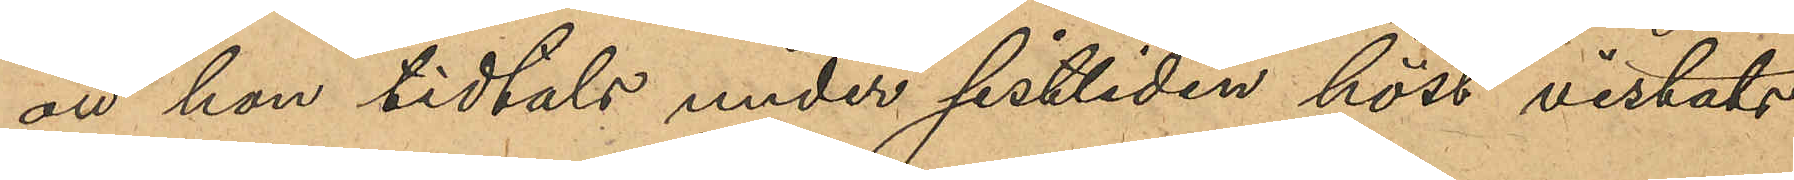att hon tidtals under sistliden höst vistats
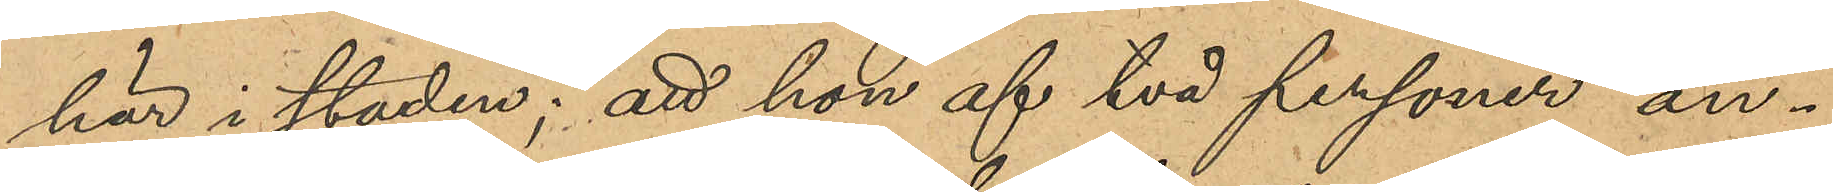här i staden; att hon af två personer an¬
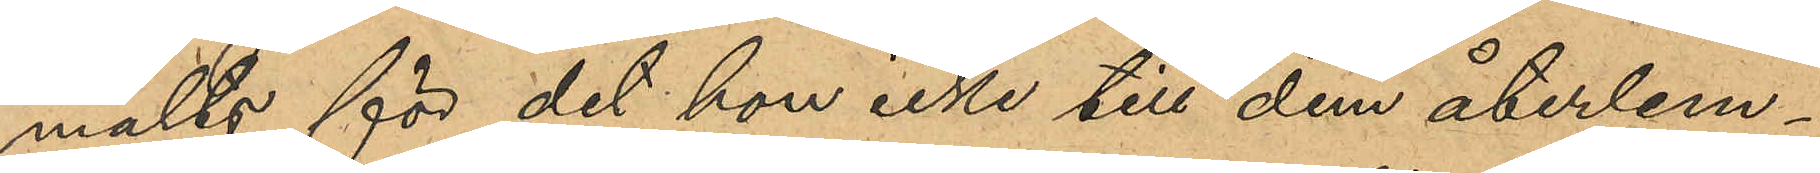mälts för det hon icke till dem återlem¬
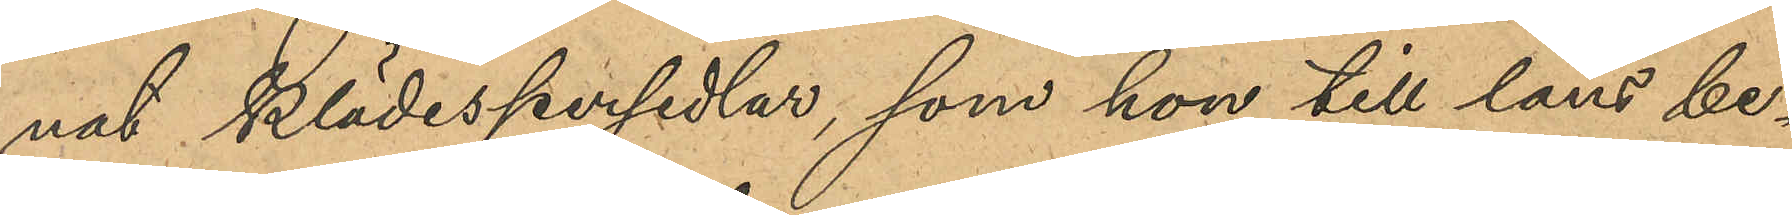nat klädespersedlar, som hon till låns be¬
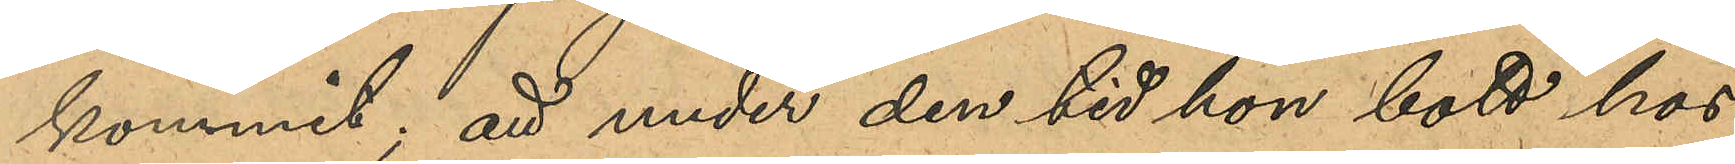kommit; att hon den tid hon bott hos
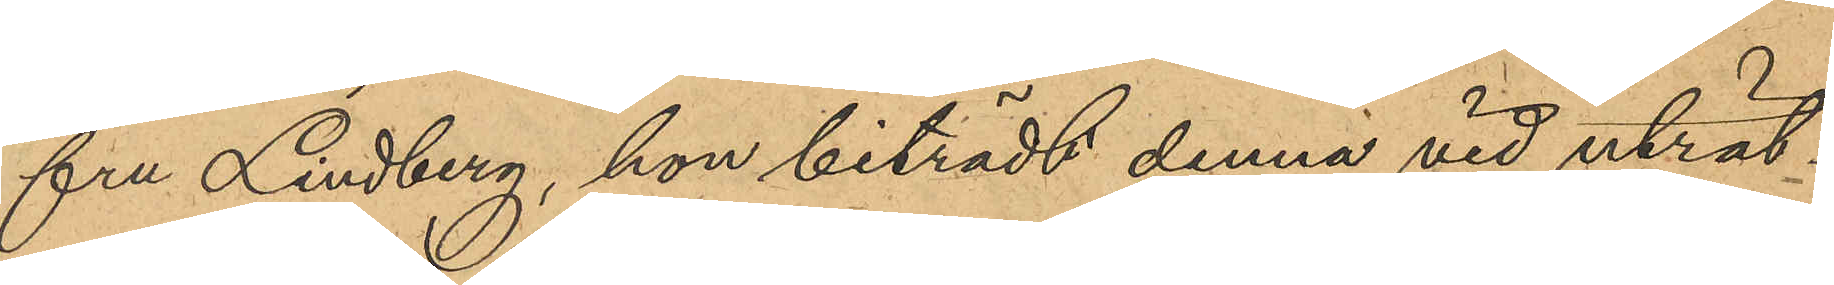fru Lindberg, hon biträdt denna vid uträt¬
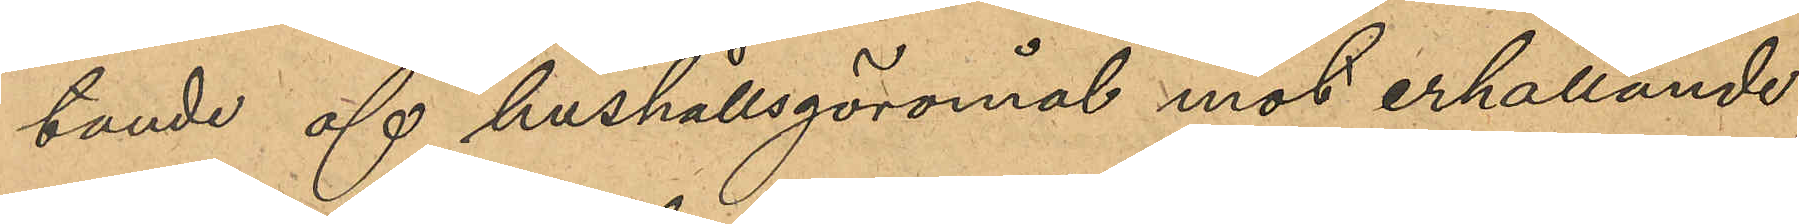tande af hushållsgöromål mot erhållande
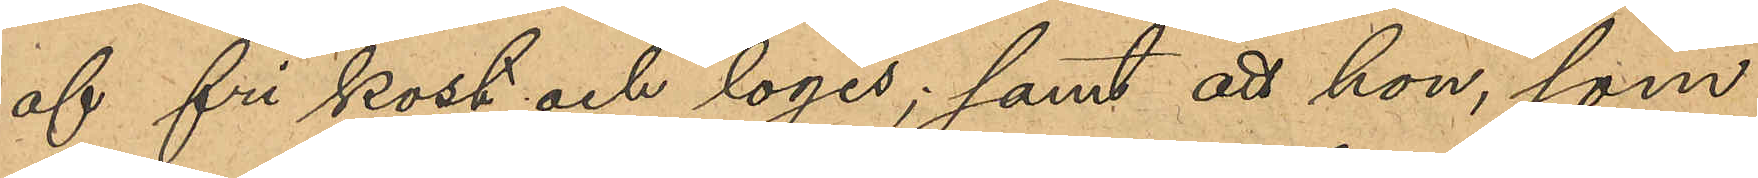af fri kost och logis; samt att hon, som
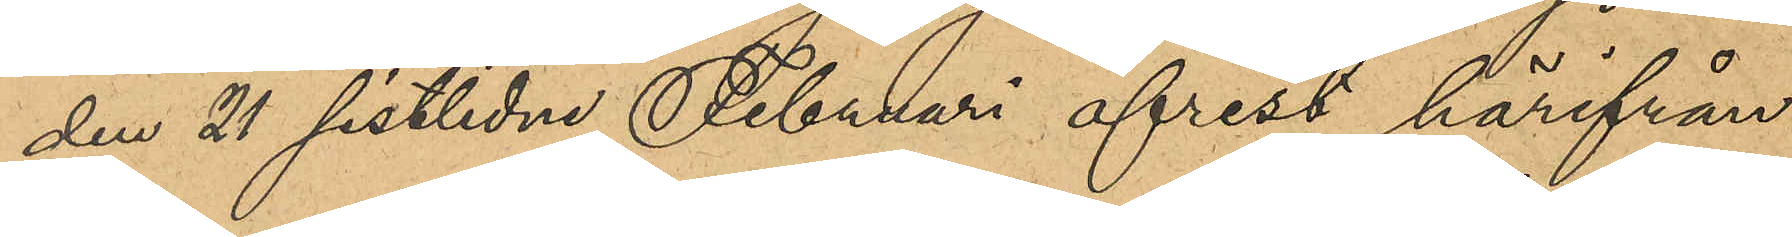den 21 sistlidne Februari afrest härifrån
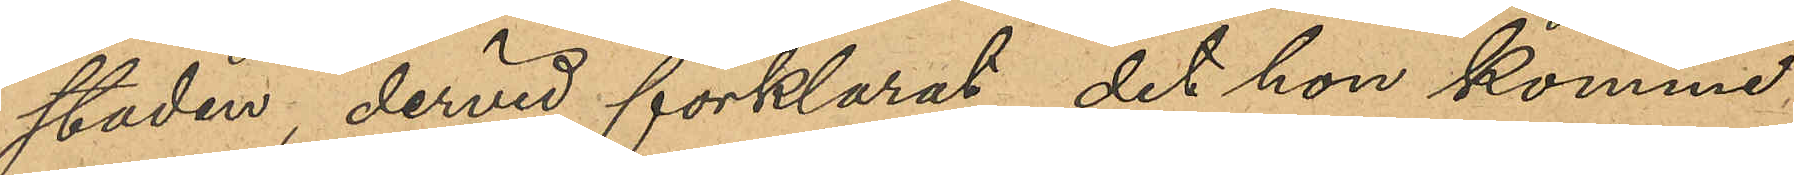staden, dervid förklarat det hon komme
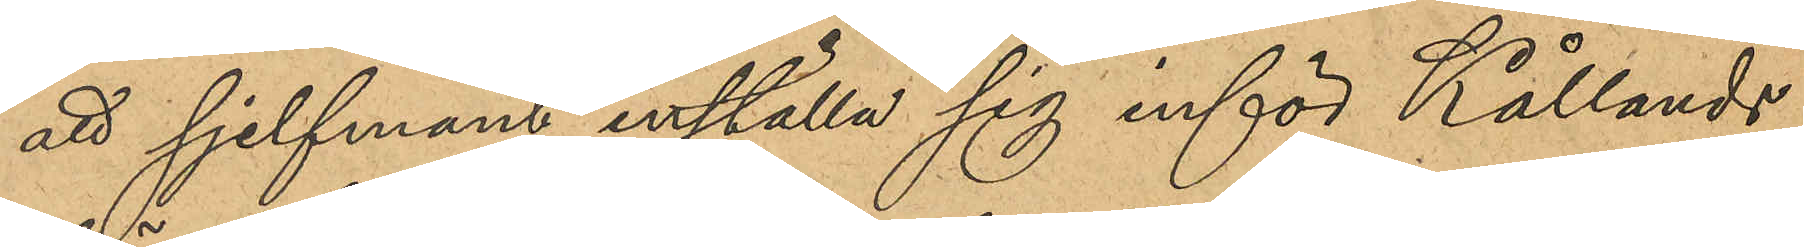att sjelfmant inställa sig inför Kållands
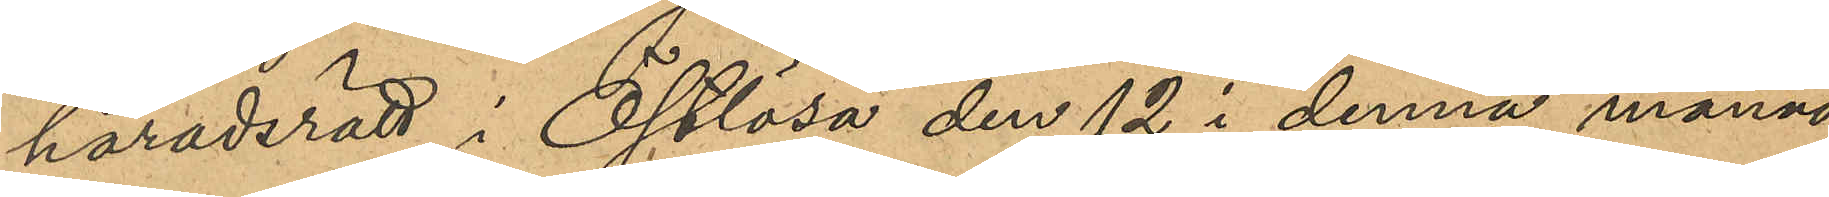häradsrätt i Östlösa den 12 i denna månad,
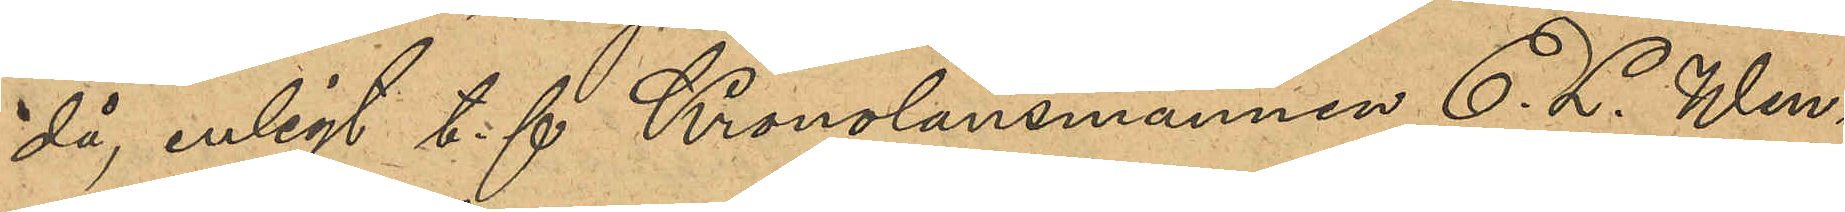då, enligt t.f. Kronolänsmannen E. L. Wen¬
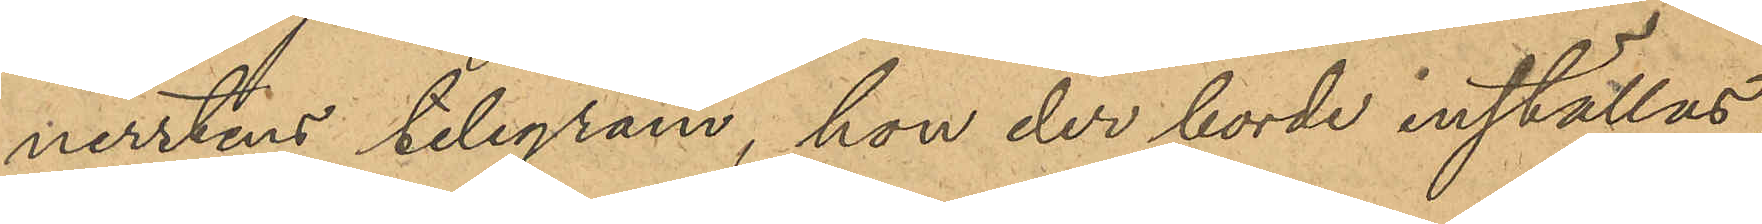nerstens telegram, hon de borde inställas.
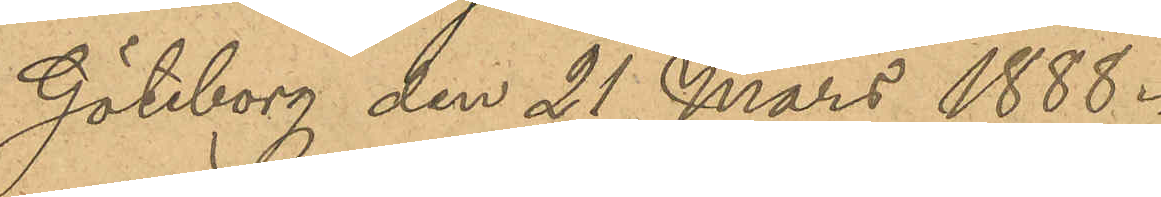Göteborg den 21 Mars 1888.
